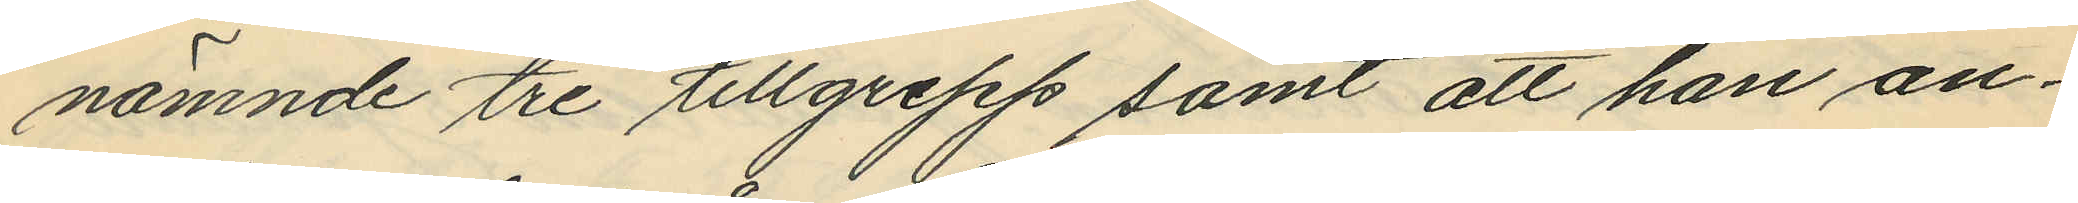nämnde tre tillgrepp samt att han an¬
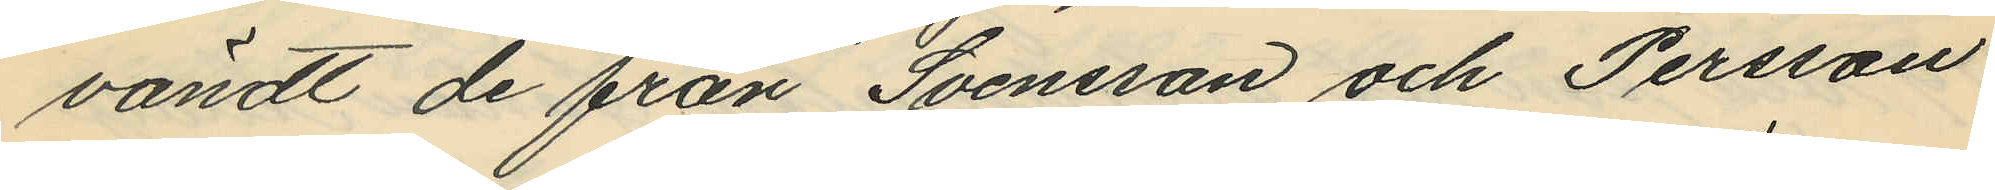vändt de från Svensson och Persson
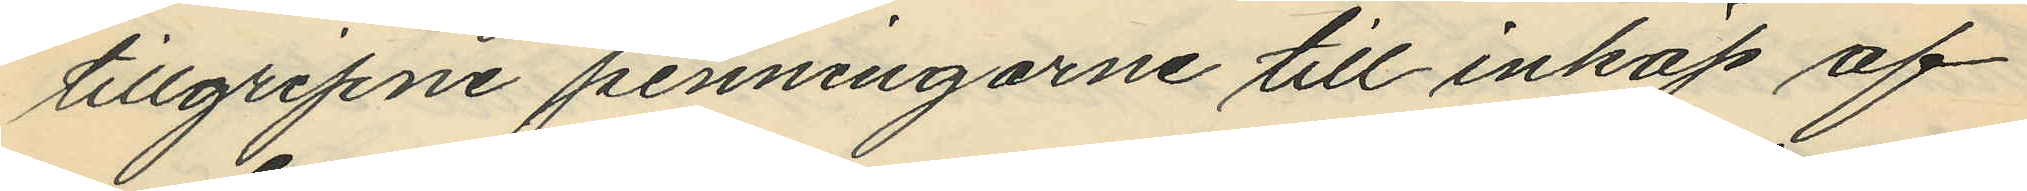tillgripne penningarne till inköp af
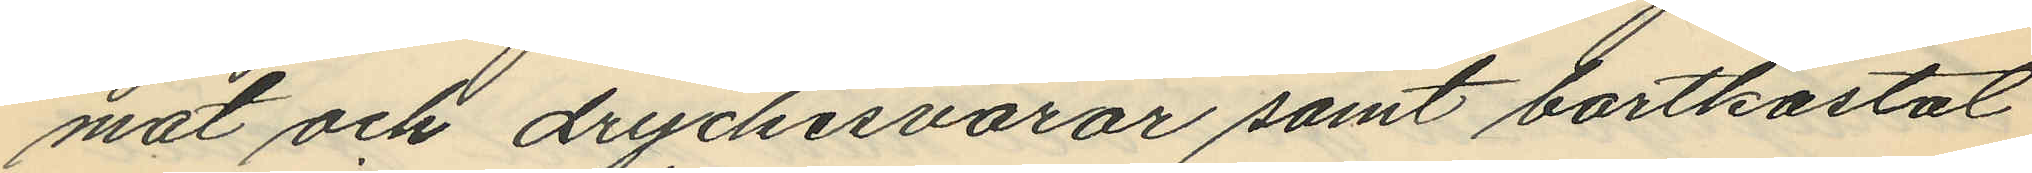mat och dryckesvaror samt bortkastat
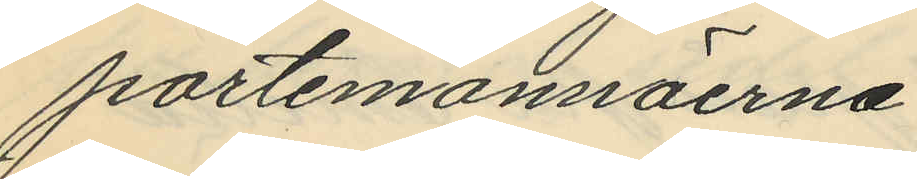portemonnäerna.
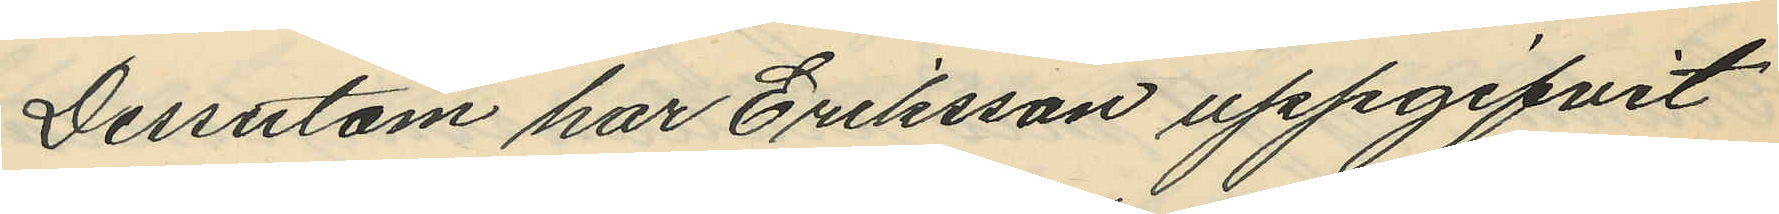Dessutom har Eriksson uppgifvit
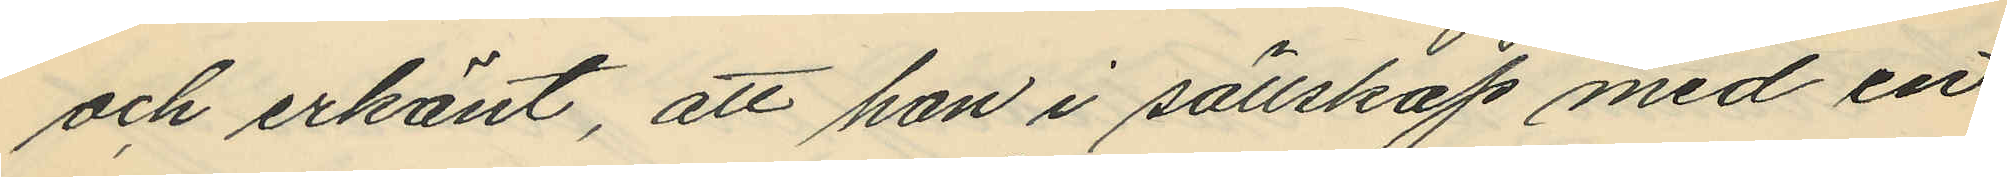och erkänt, att han i sällskap med en
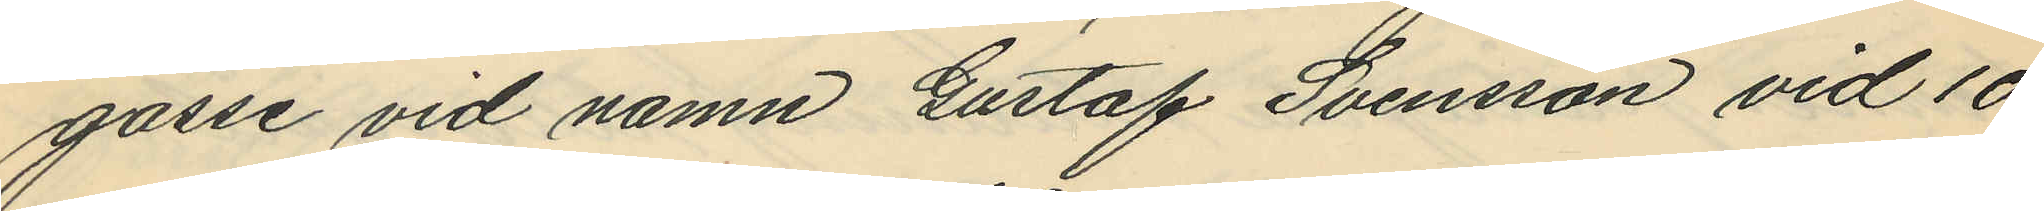gosse vid namn Gustaf Svensson vid 10
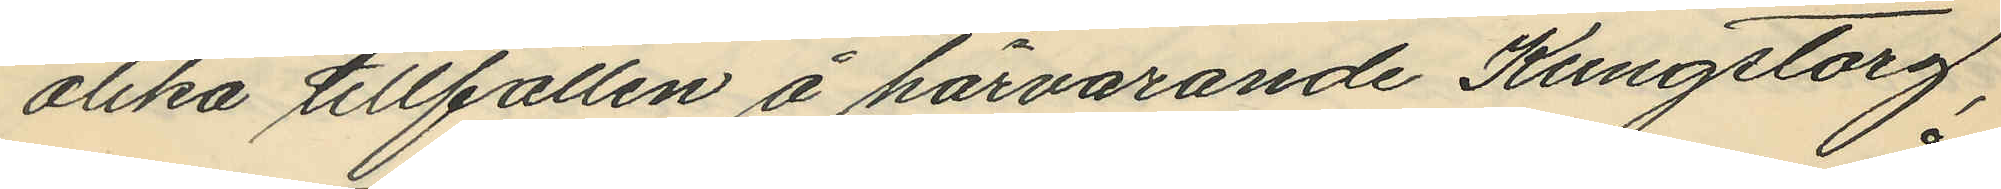olika tillfällen å härvarande Kungstorg,
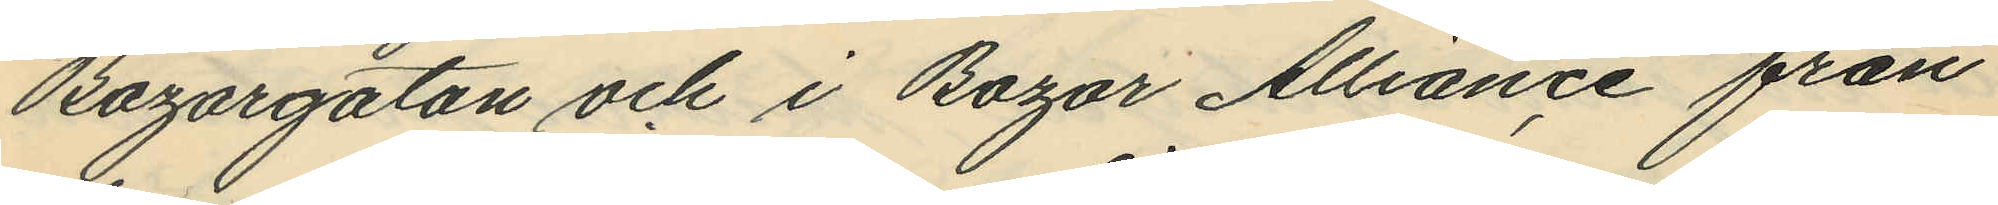Bazargatan och i Bazar Alliance från
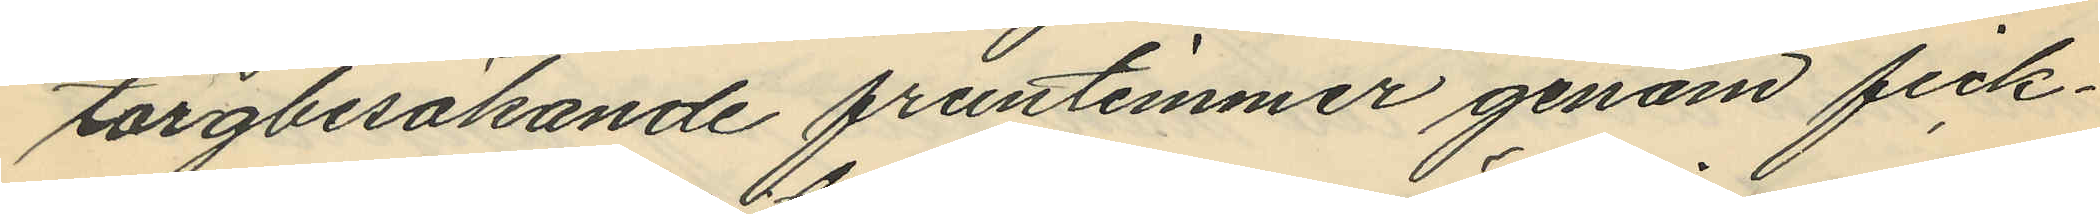torgbesökande fruntimmer genom fick¬
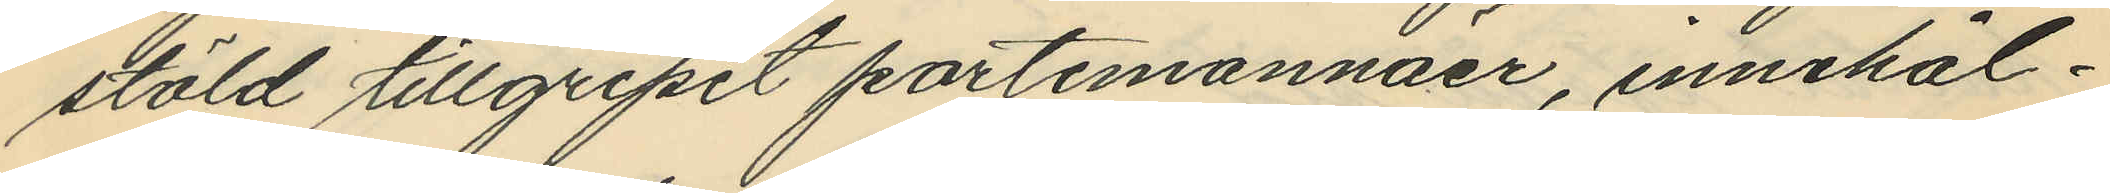stöld tillgripit portemonnäer, innehål¬
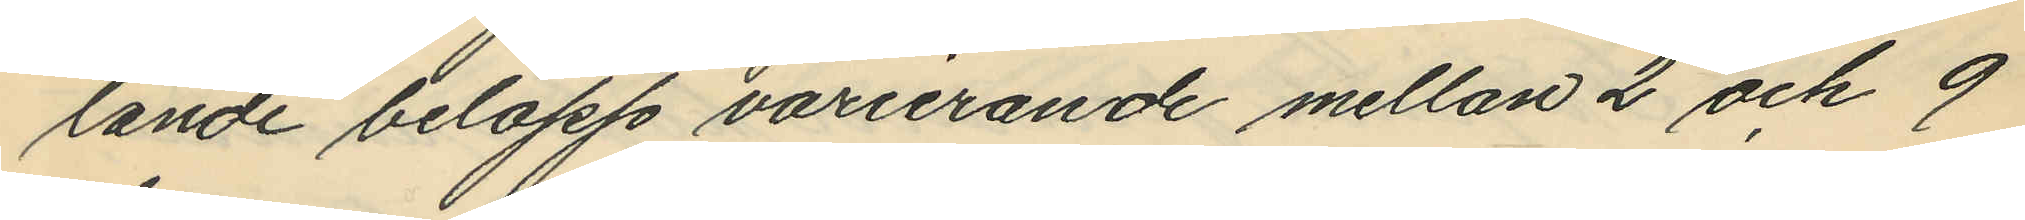lande belopp varierande mellan 2 och 9
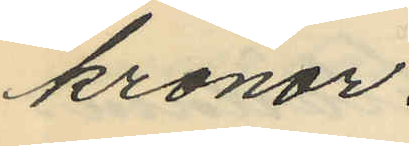kronor.
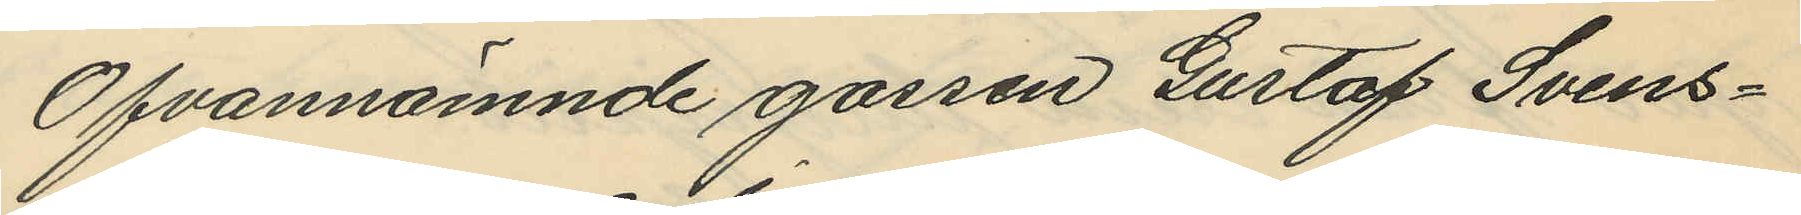Ofvannämnde gossen Gustaf Svens¬
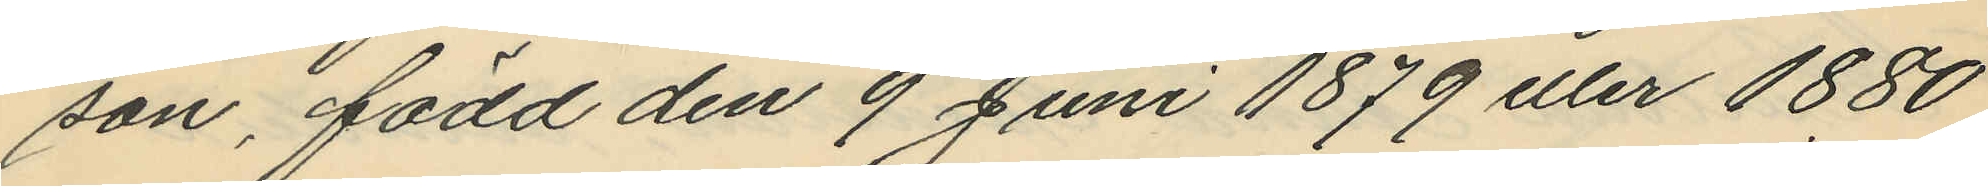son, född den 9 Juni 1879 eller 1880
